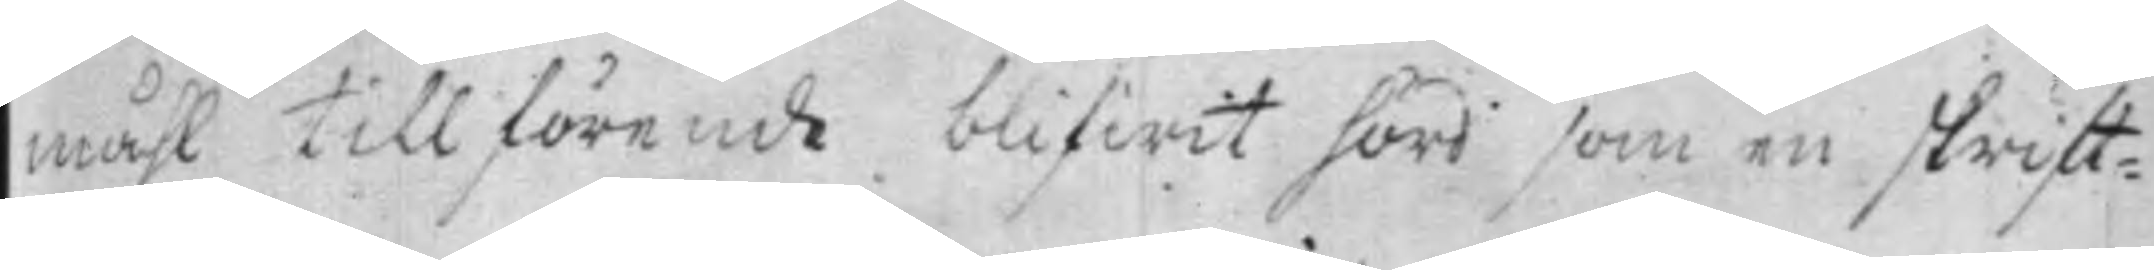måhl tillförende blifwit hörd som en skrift¬
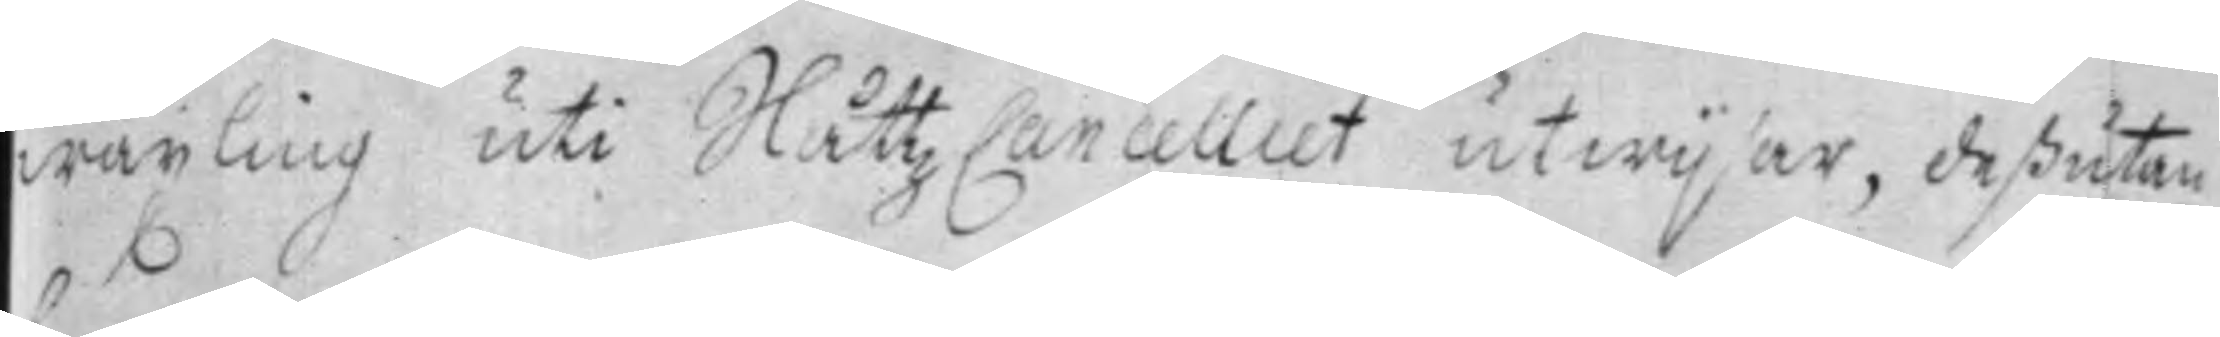wäxling uti SlåttzCancelliet utwijsar, deßutan
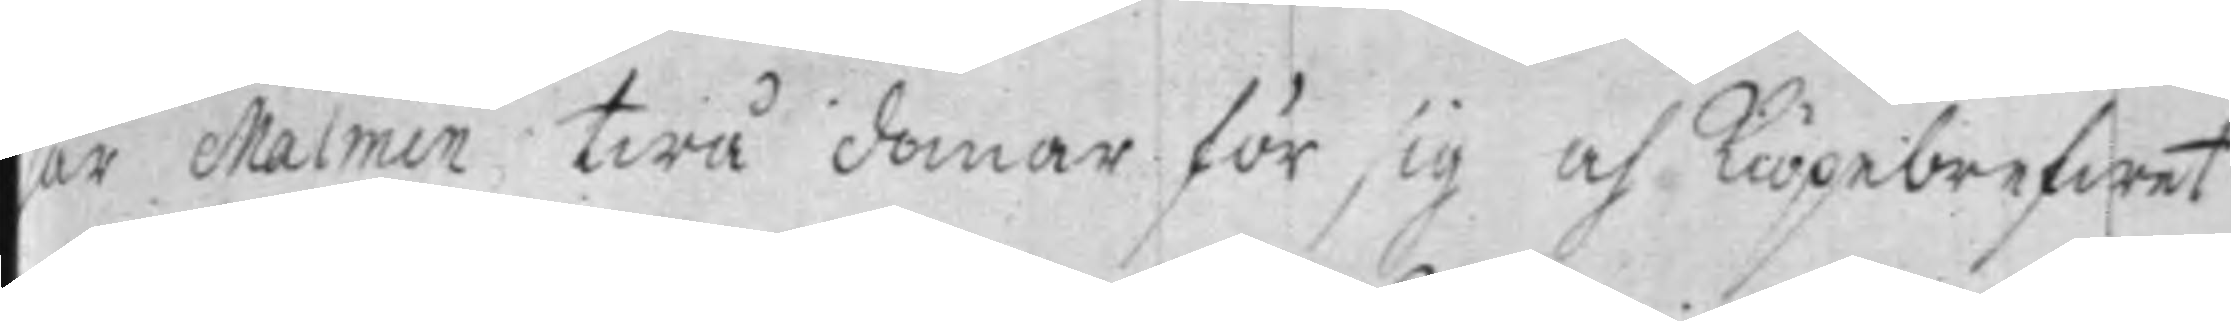har Malmin twå domar för sig af Kiöpebrefwet
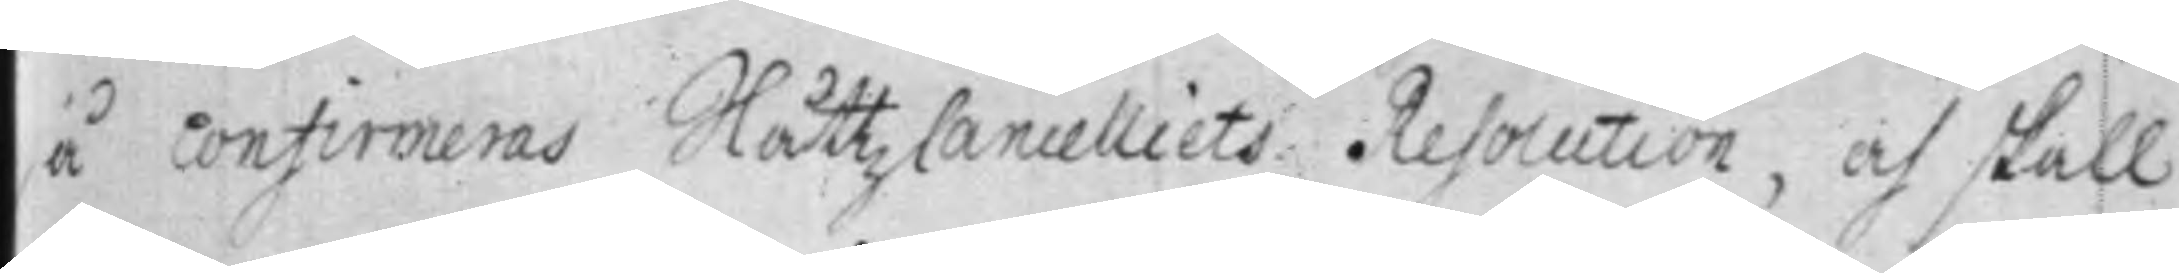så confirmeras SlåttzCancelliets Resolution, och skall
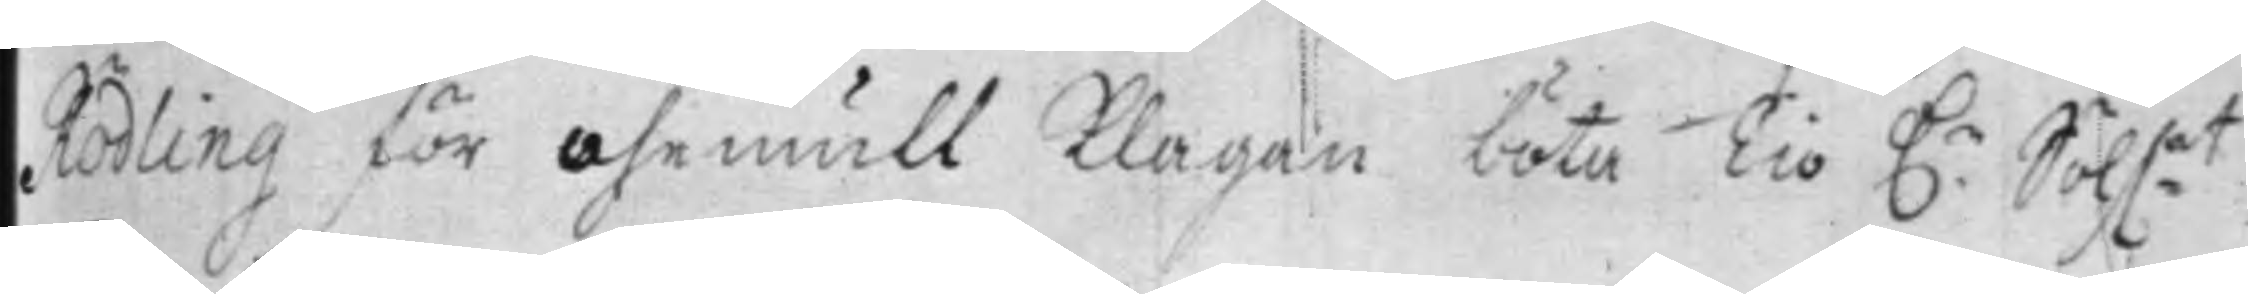Rödling för ohemull Klagan böta Tio D.r Sölf:mt
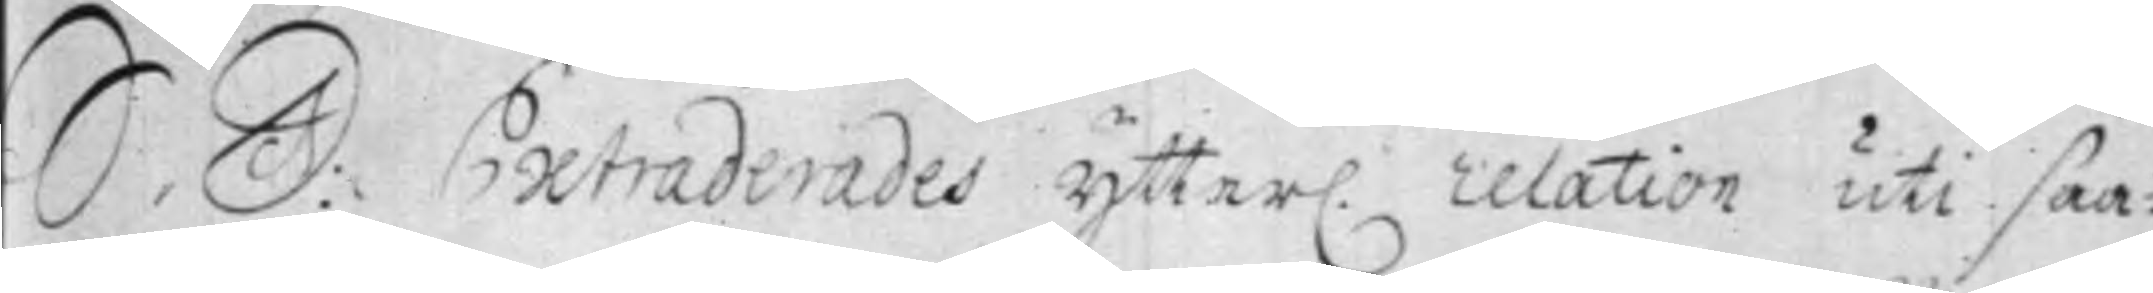S. D: Extraderades Ytter. relation uti saa¬
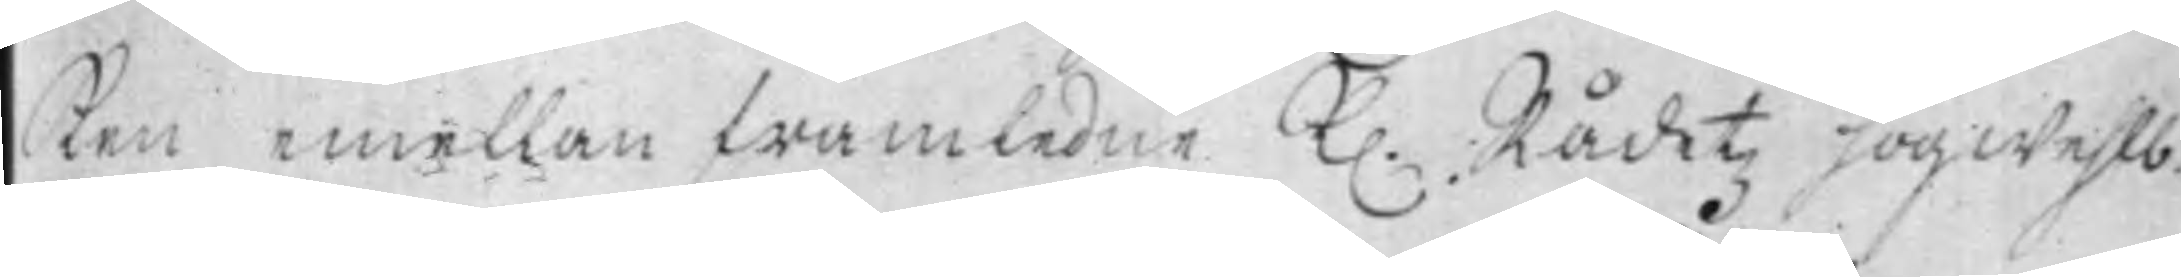ken emellan framledne K. Rådetz högwehlb.
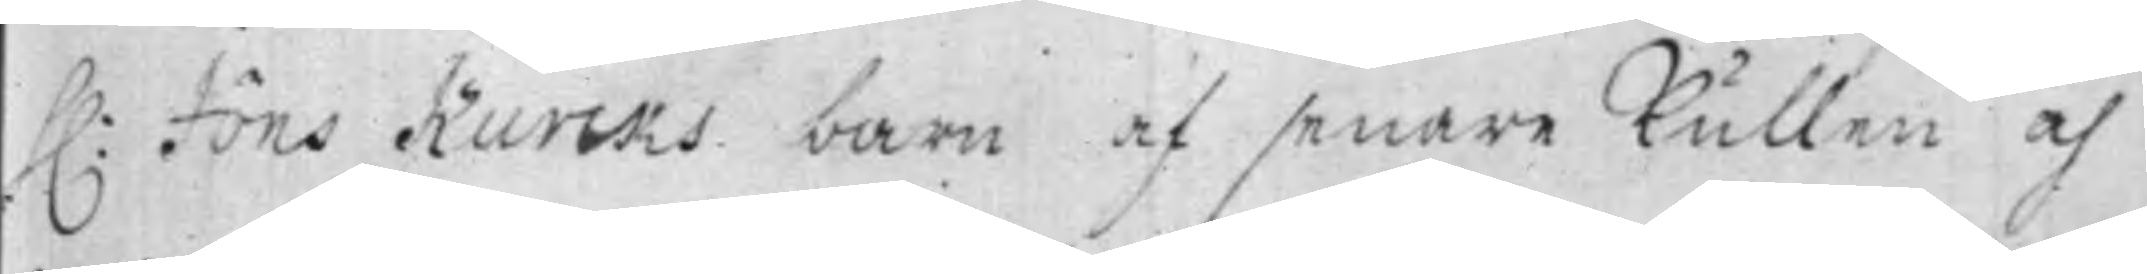h: Jöns Kurcks barn af senare Kullen och
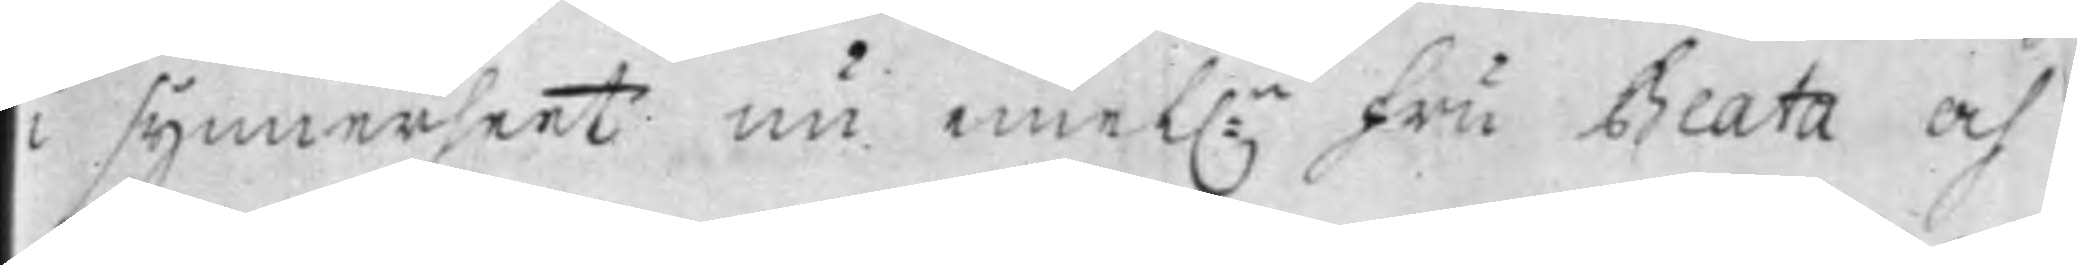i synnerheet nu emel:n Fru Beata och
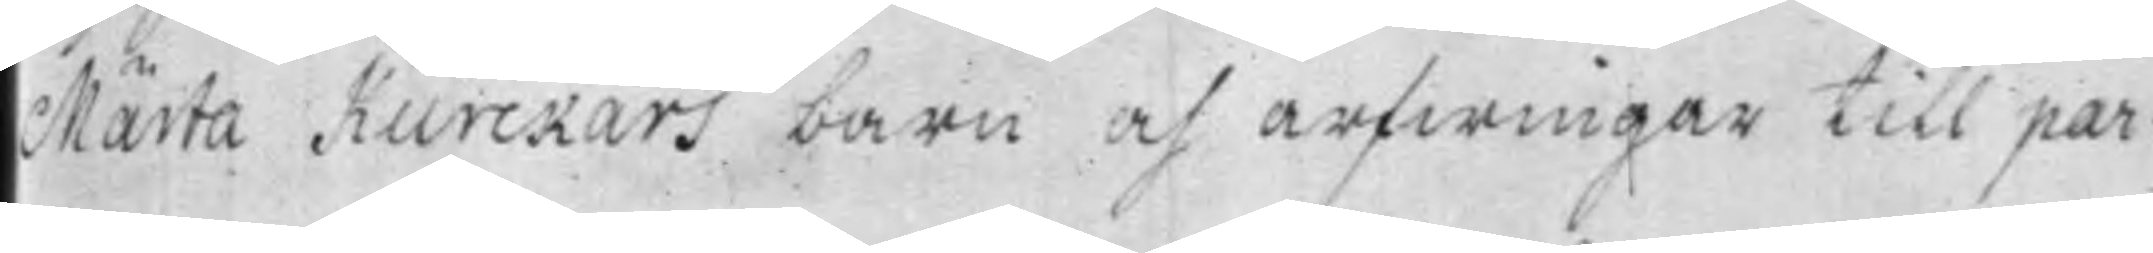Märta Kurckars barn och arfwingar till par¬
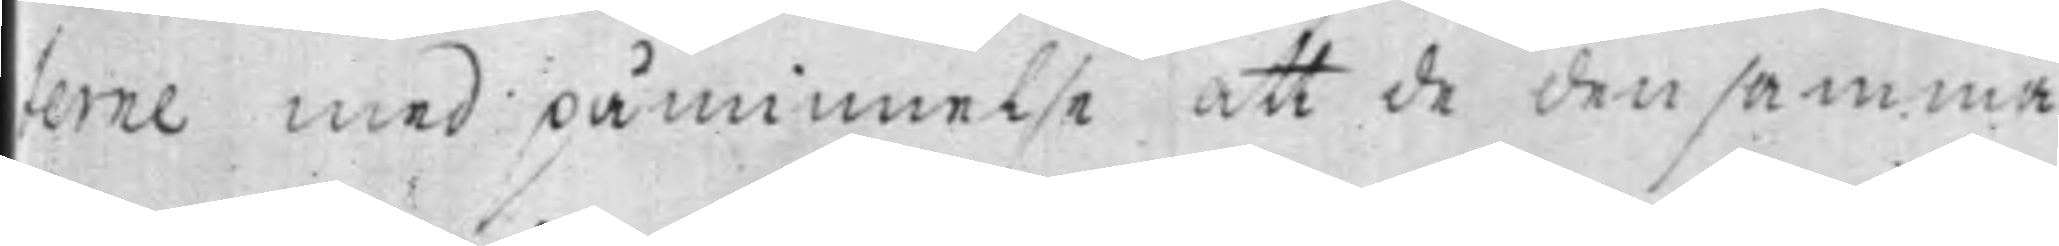terne med påminnelse att de densamma
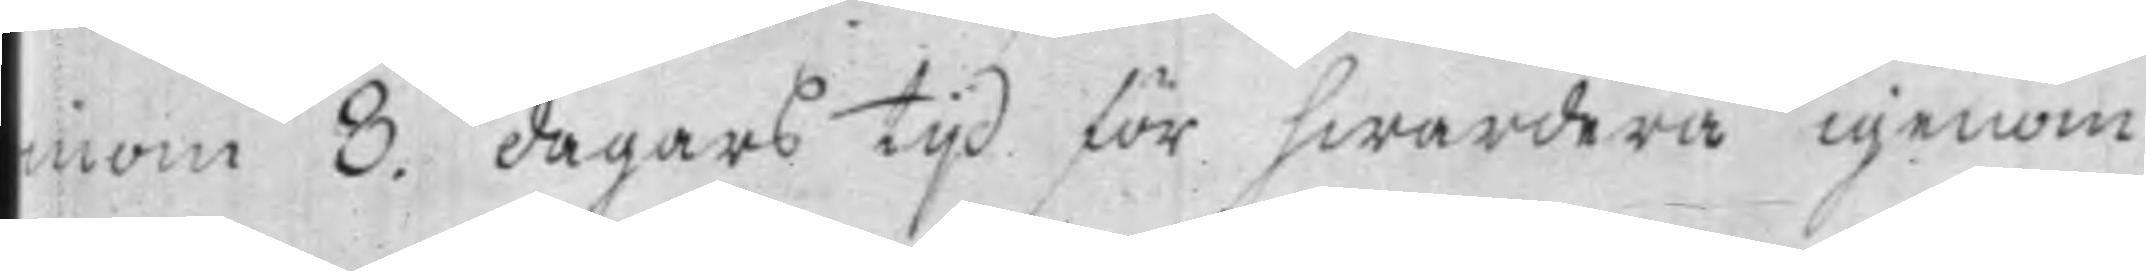inom 8. dagars tijd för hwardera igenom
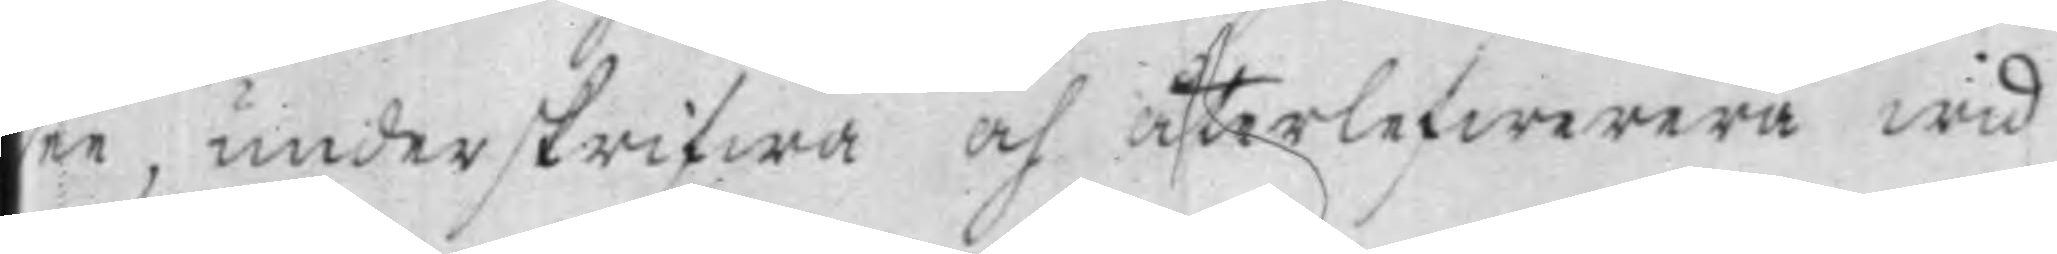ee, underskrifwa och återlefwerera wid
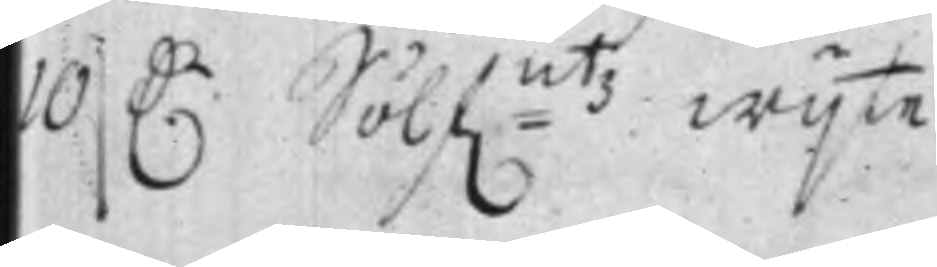10 D.r Sölf:mtz wijte ./.
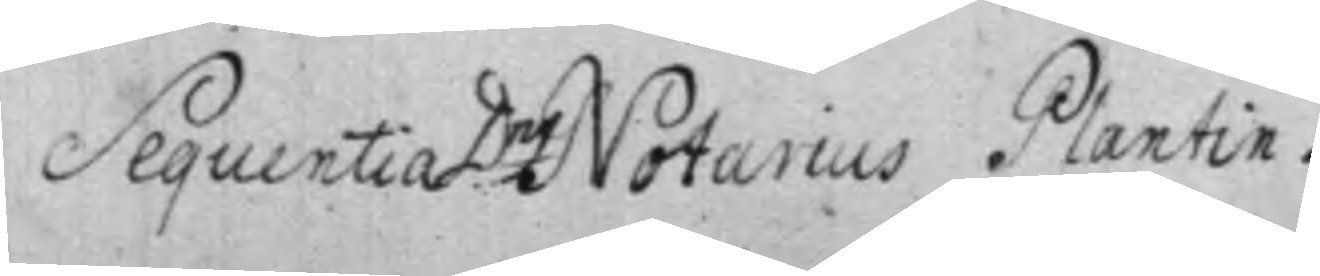Sequentia D:ng Notarius Plantin.
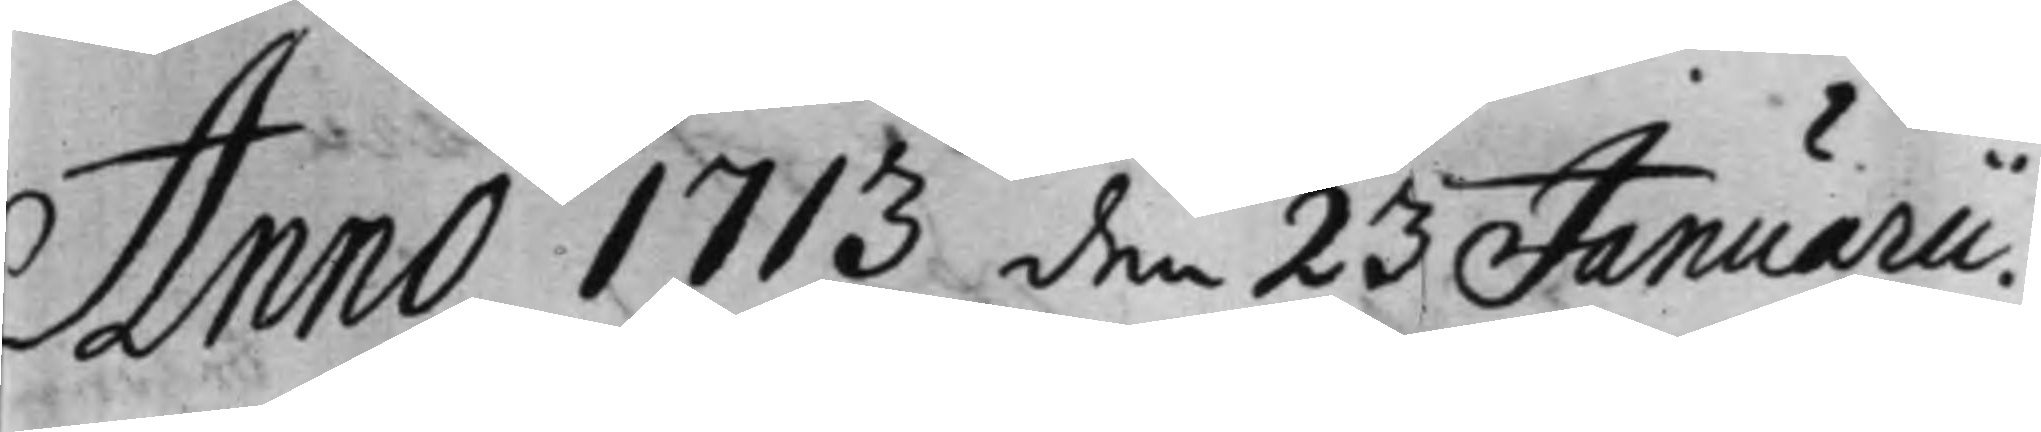Anmno 1713 den 23 Januarii.
